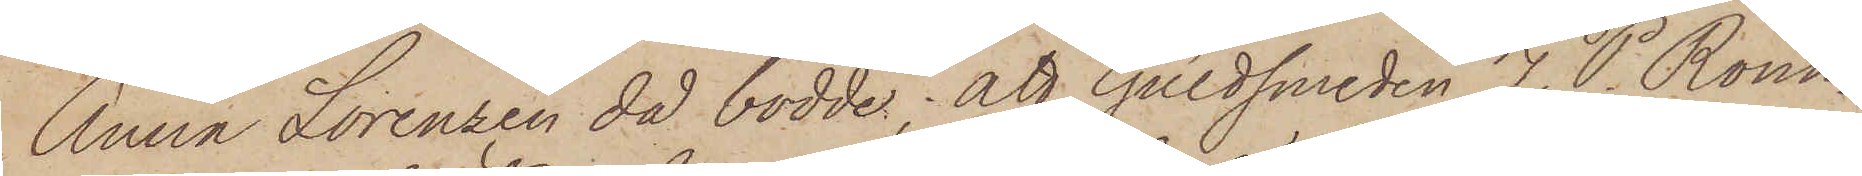Anna Lorenzen då bodde; att Guldsmeden J. P. Rönn¬
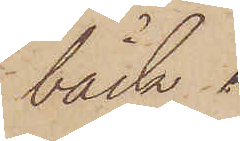bäck
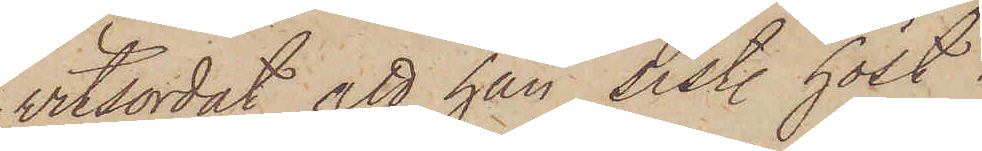vitsordat att han sist. höst
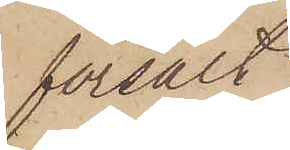försålt
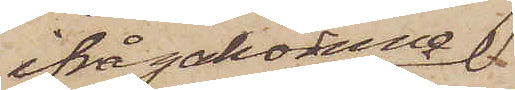ifrågakomne
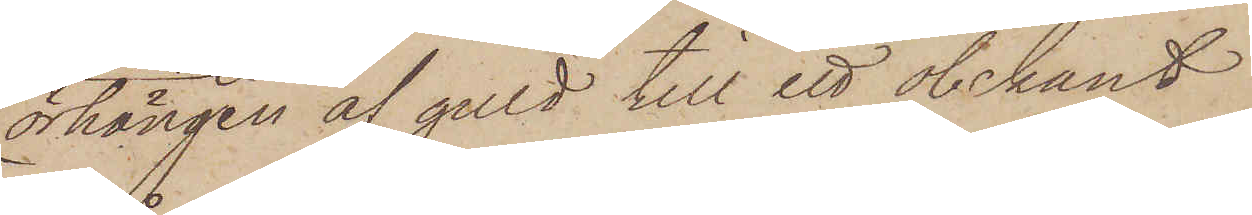örhängen af guld till ett obekant
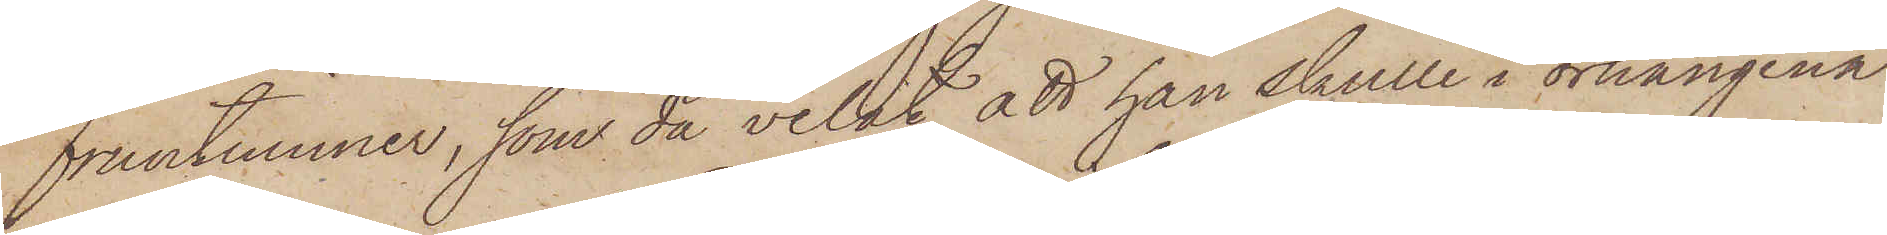fruntimmer, som då velat, att han skulle i örhängena
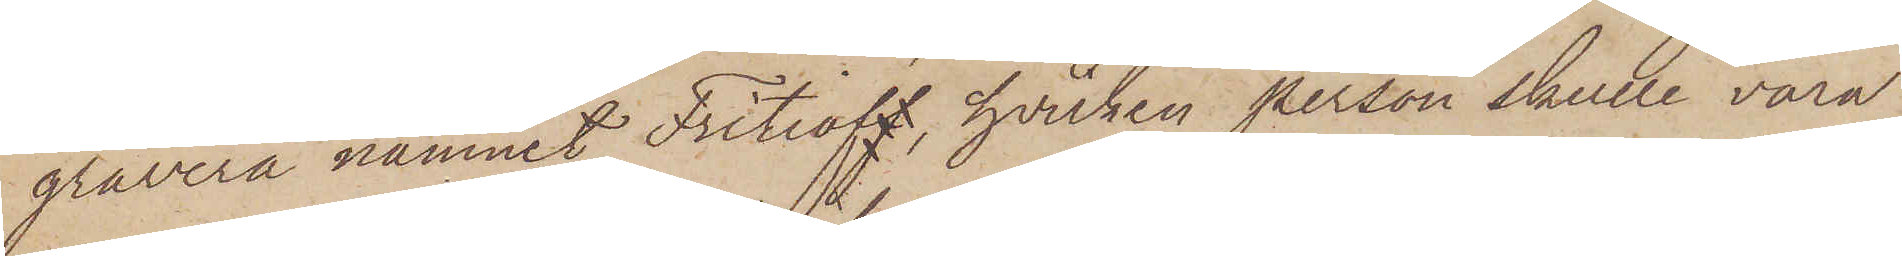gravera namnet Fritioff, hvilken person skulle vara
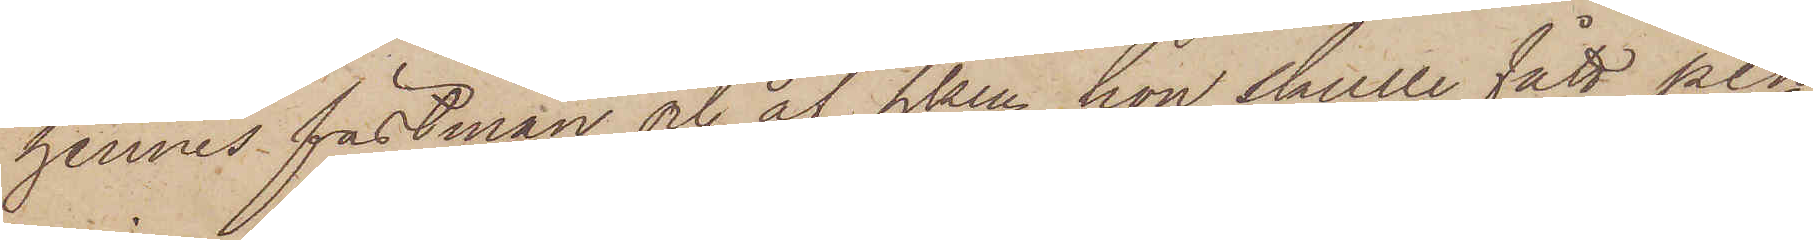hennes fästman och af hvem hon skulle fått pen¬
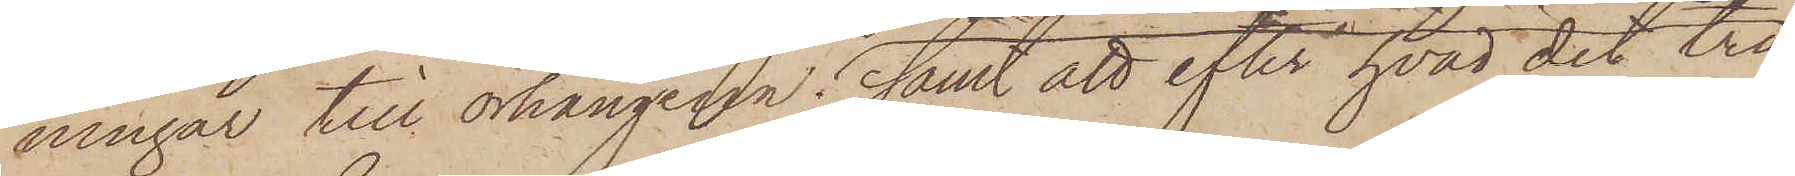ningar till örhängena; samt att efter hvad det tros
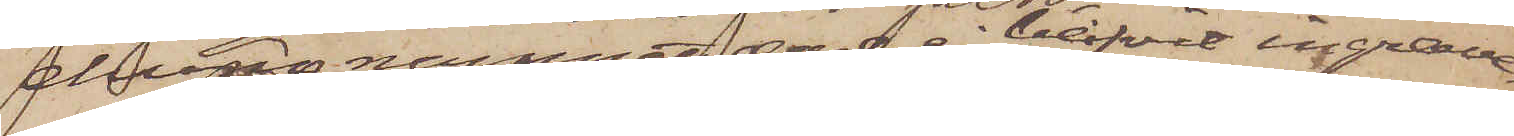ehuru namnet dock ej blifvit ingrave¬
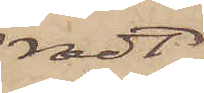radt
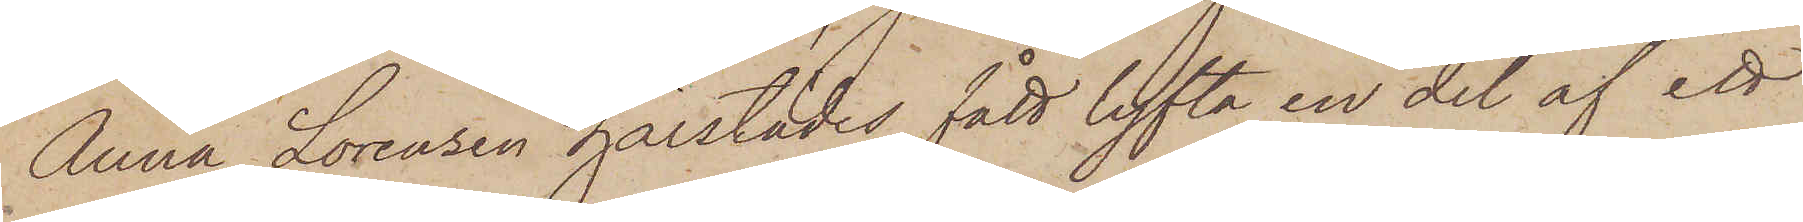Anna Lorenzen härstädes fått lyfta en del af ett
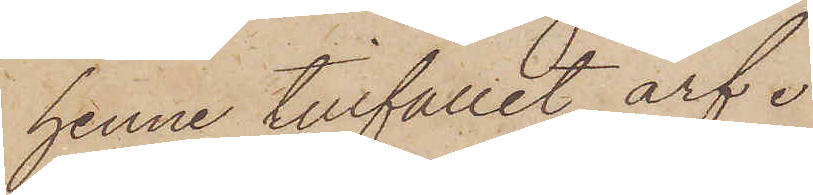henne tillfallet arf.
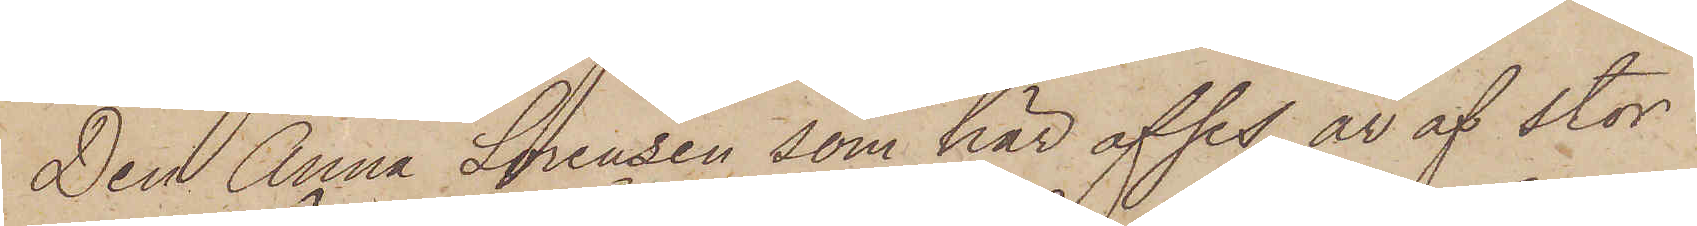Den Anna Lorenzen som här afses, är af stor
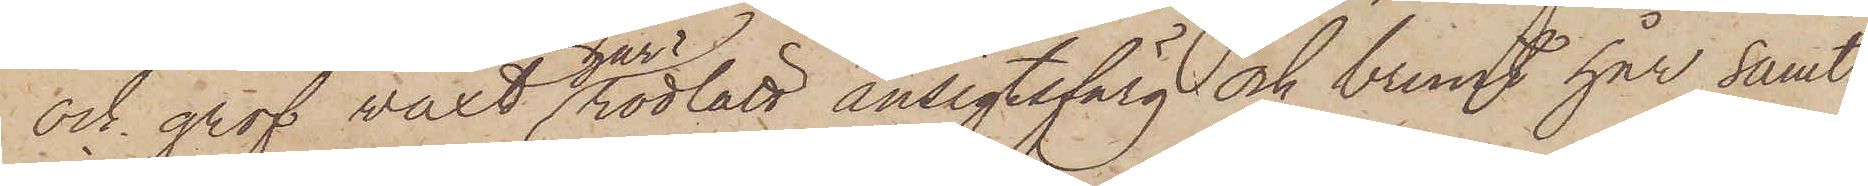och grof växt, har rödlätt ansigtsfärg och brunt hår samt
